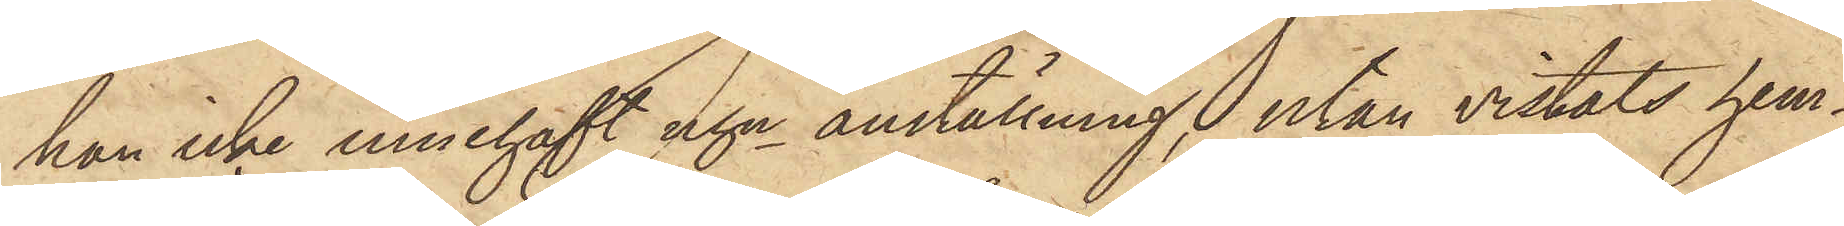han icke innehaft ngn anställning, utan vistats hem¬
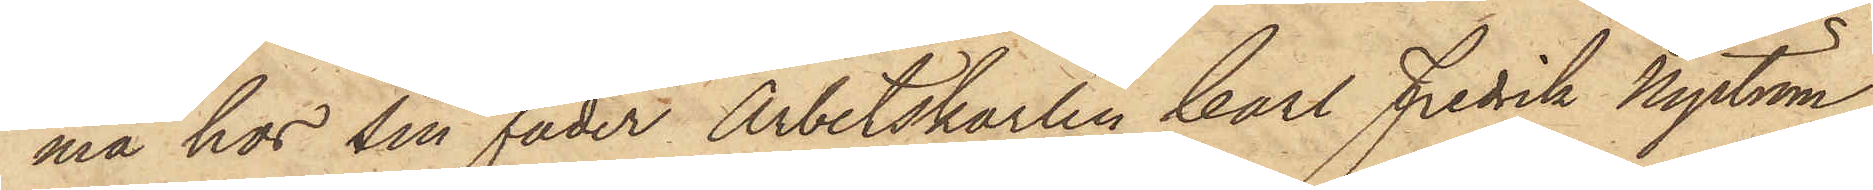ma hos sin fader Arbetskarlen Carl Fredrik Nyström,
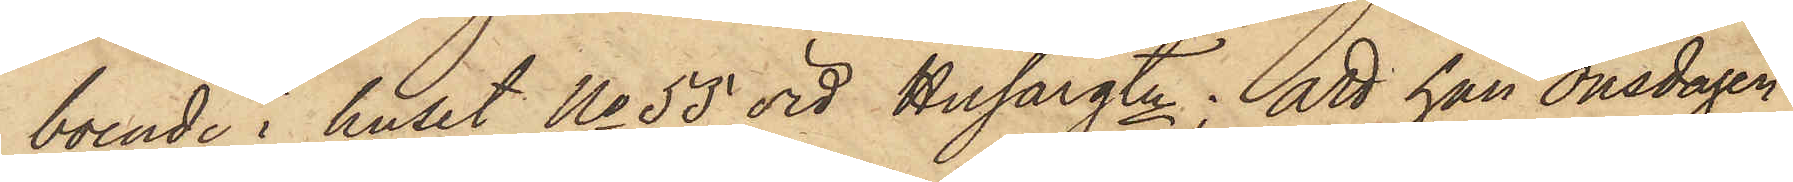boende i huset No 55 vid Husargtn; att han Onsdagen
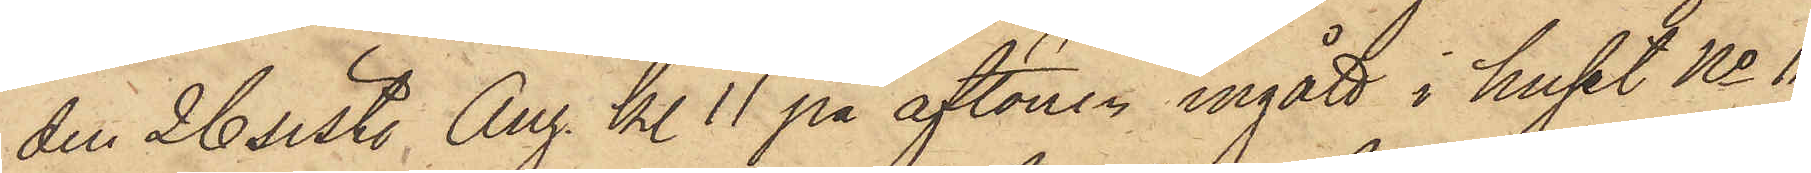den 26 sist. Aug. kl. 11 på aftonen ingått i huset No 11
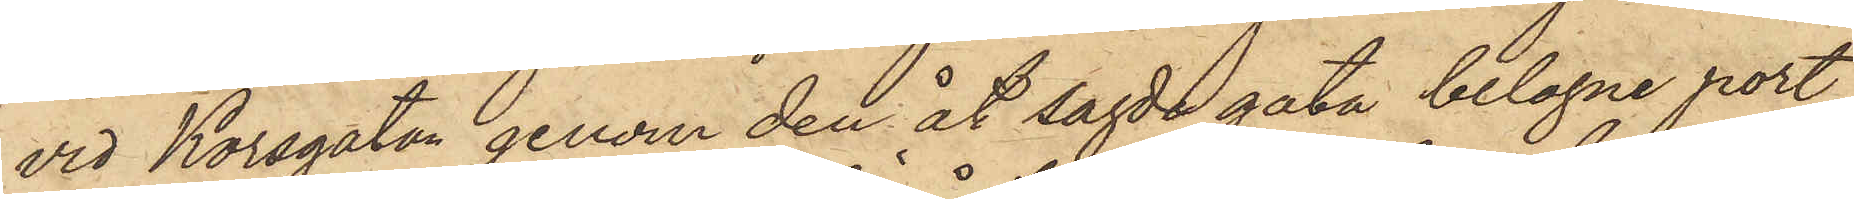vid Korsgatan genom den åt sagde gata belagne port,
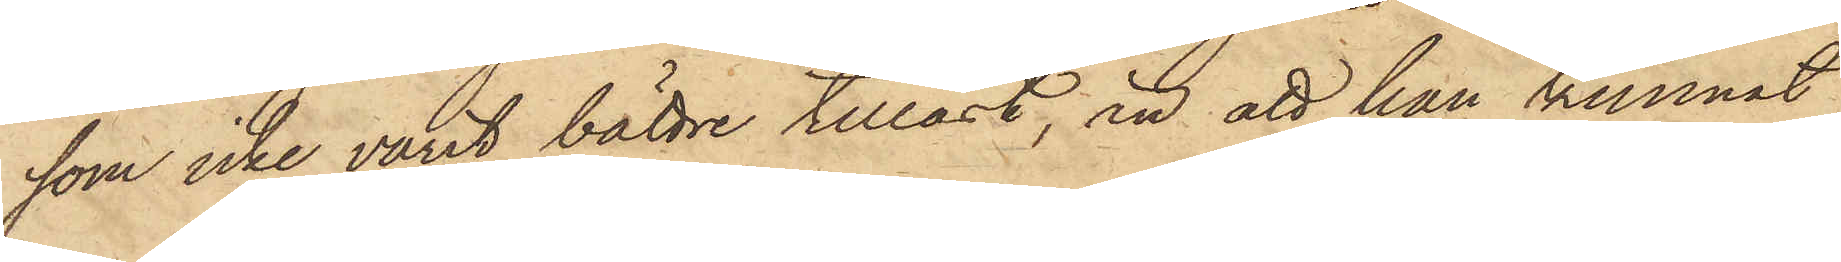som icke varit bättre tillåst, än att han kunnat
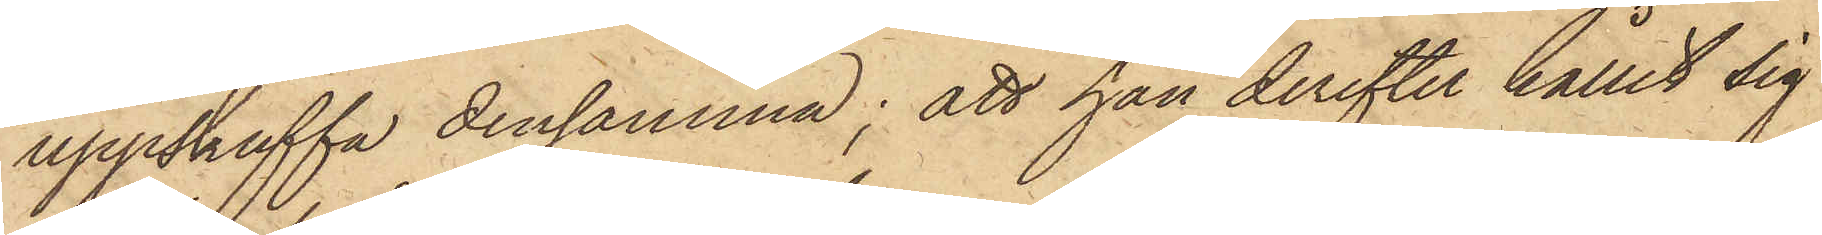uppskuffa densamma; att han derefter hållit sig
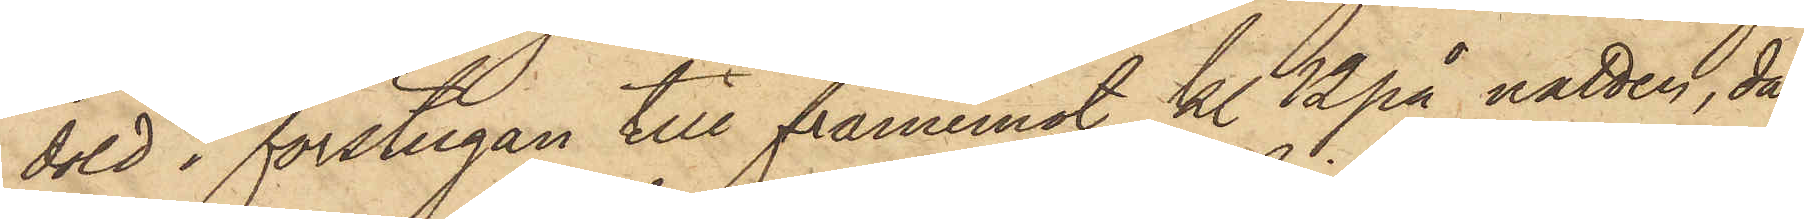dold i förstugan till framemot kl 12 på natten, då
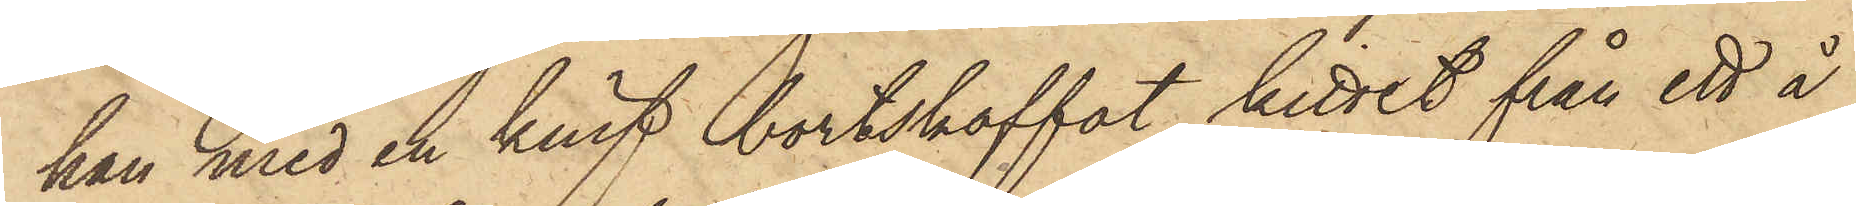han med en knif bortskaffat kittet från ett å
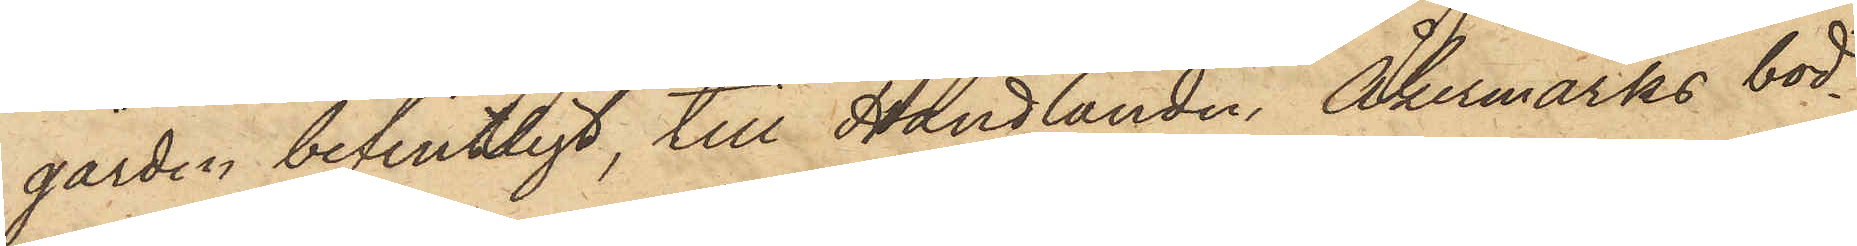gården befintligt, till Handlanden Åkermarks bod¬
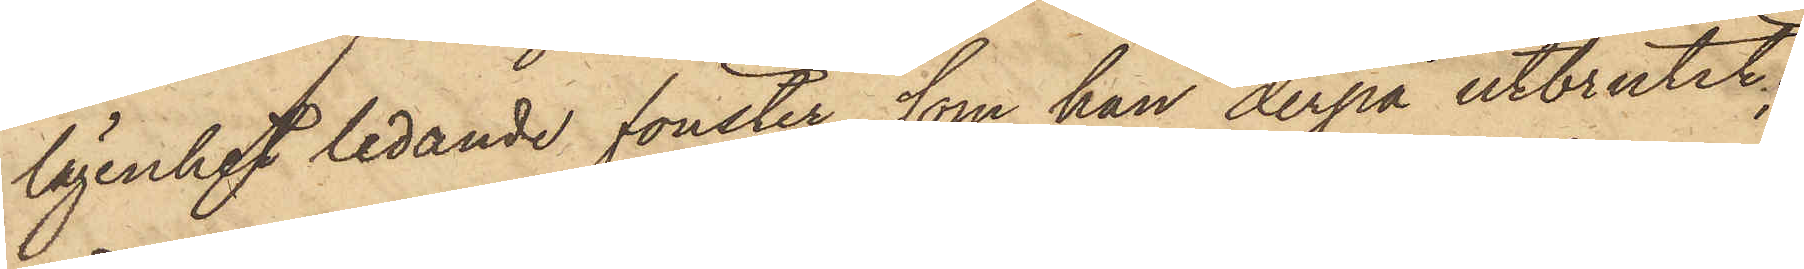lägenhet ledande fönster, som han derpå utbrutit;
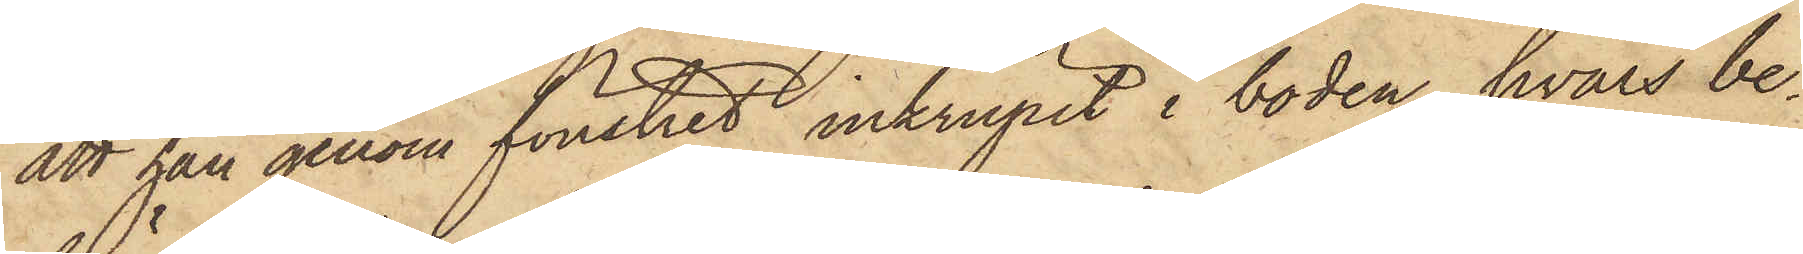att han genom fönstret inkrupit i boden, hvars be¬
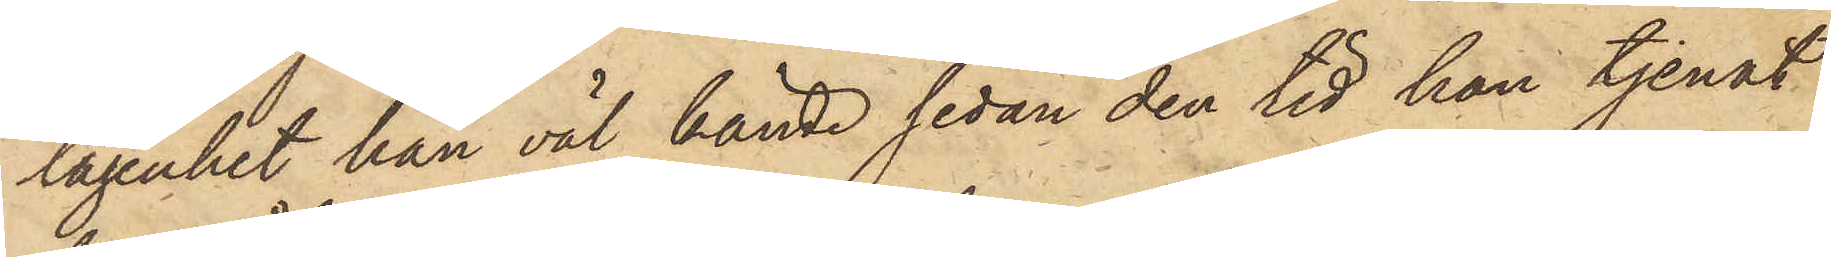lägenhet han väl kände sedan den tid han tjenat
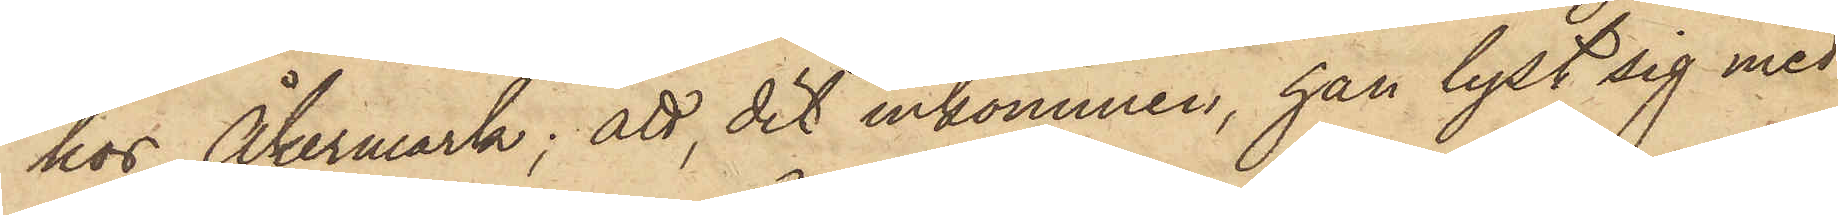hos Åkermark; att der inkommen, han lyst sig med
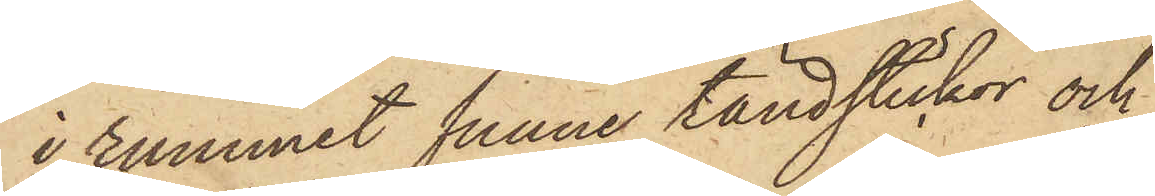i rummet funne tändstickor och
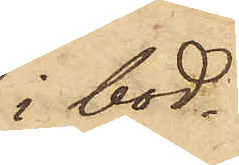i bod¬
